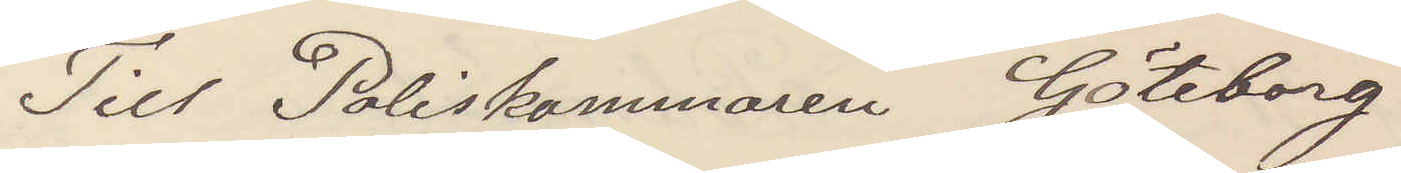Till Poliskammaren Göteborg
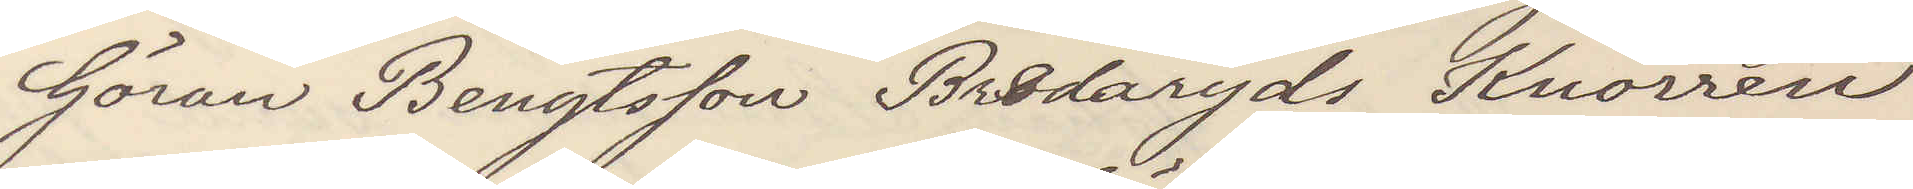Göran Bengtsson Bredaryd Knorren
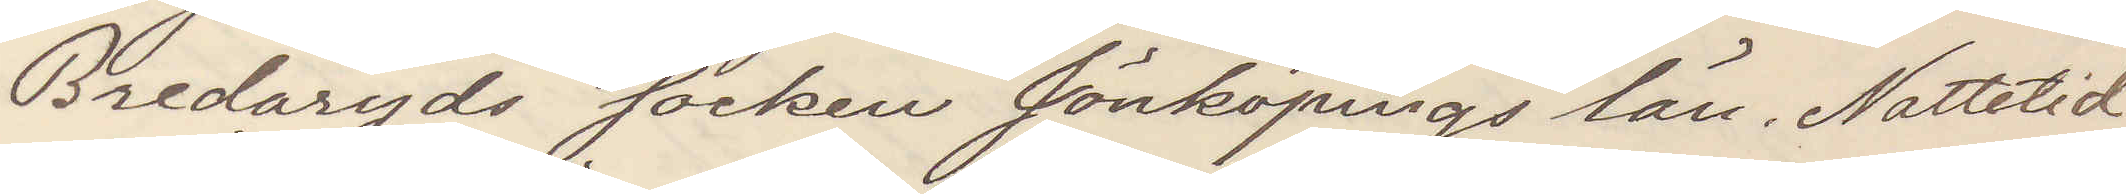Bredaryds socken Jönköpings län Nattetid
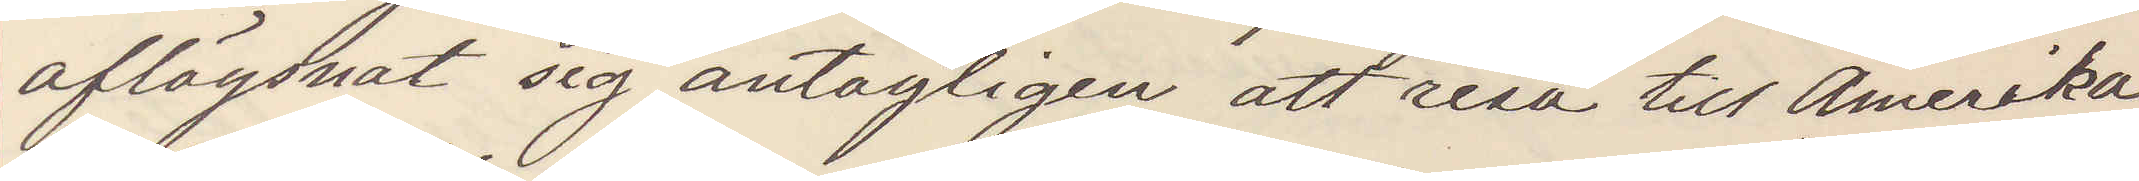aflägsnat sig antagligen att resa till Amerika
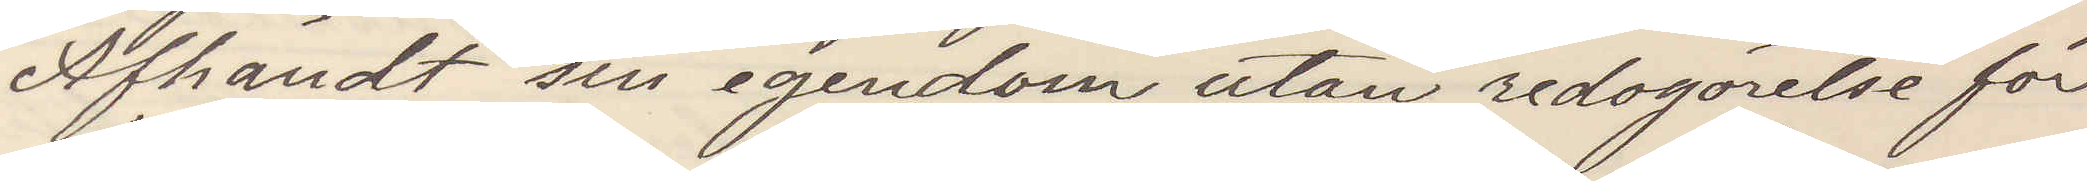Afhändt sin egendom utan redogörelse för
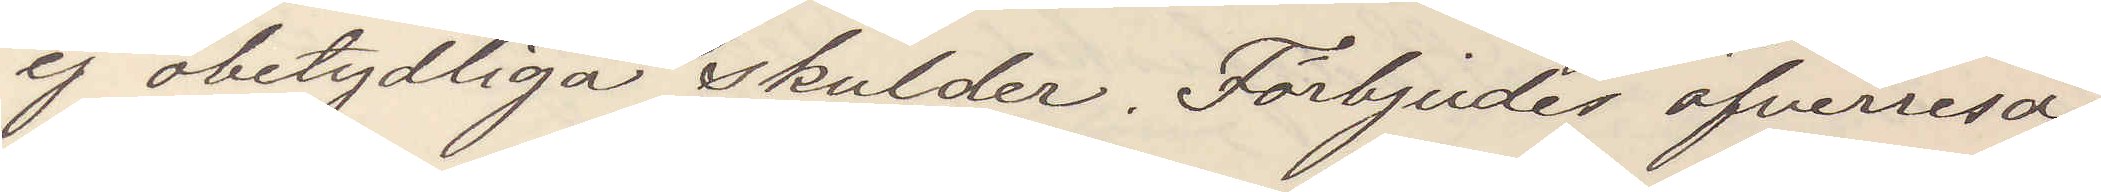ej obetydliga skulder. Förbjudes öfverresa
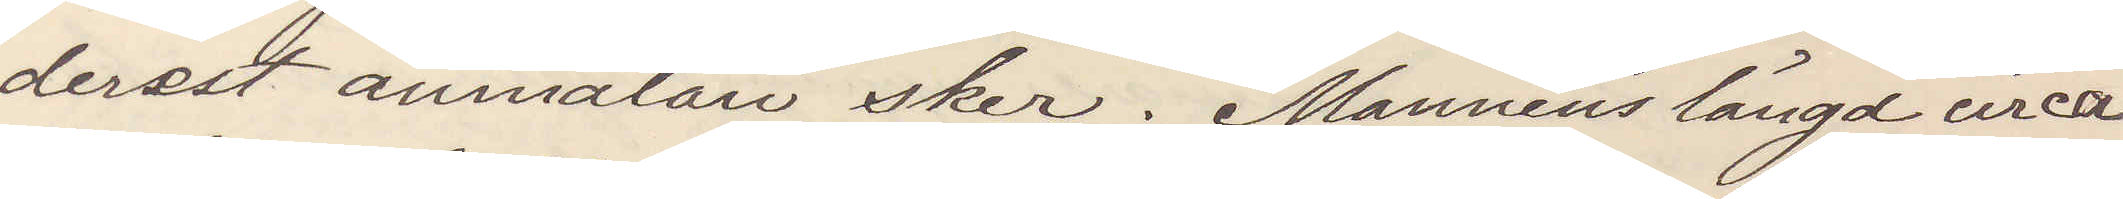derest anmälan sker. Mannens längd circa
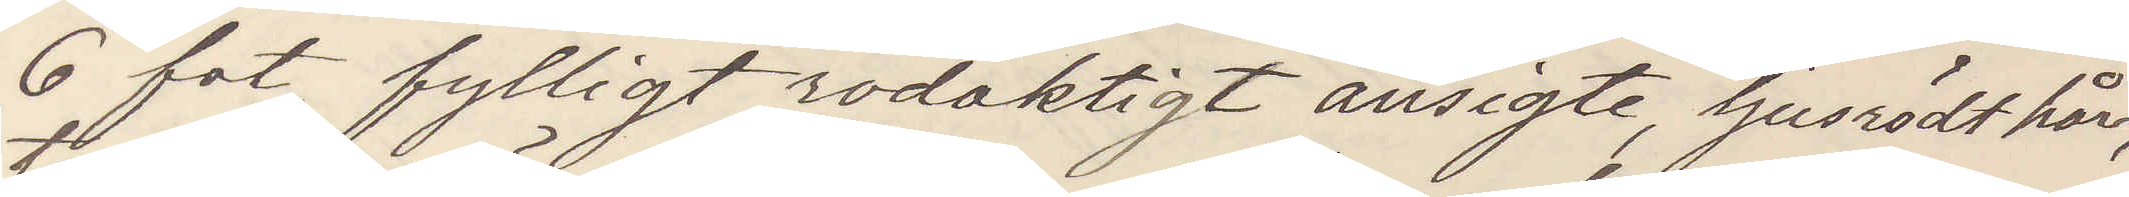6 fot fylligt rödaktigt ansigte ljusrödt hår
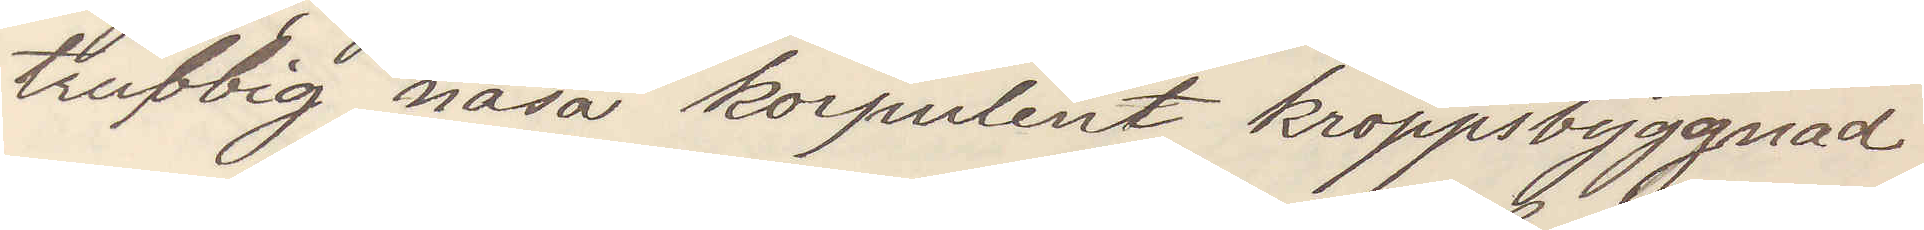trubbig näsa korpulent kroppsbyggnad
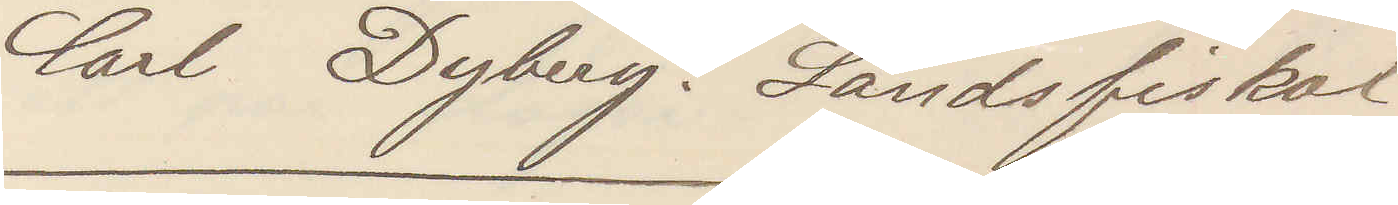Carl Dyberg. Landsfiskal
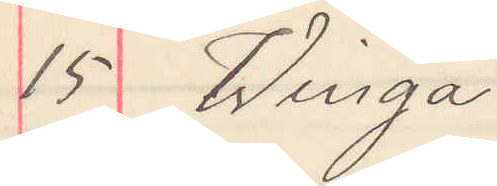15 Winga
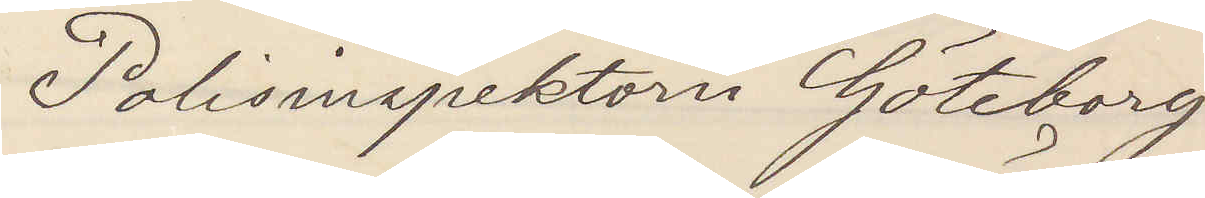Polisinspektorn Göteborg
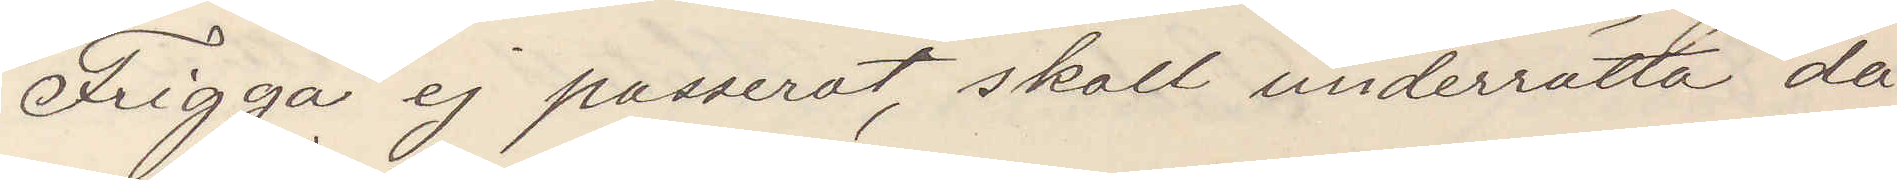Frigga ej passerat, skall underrätta då
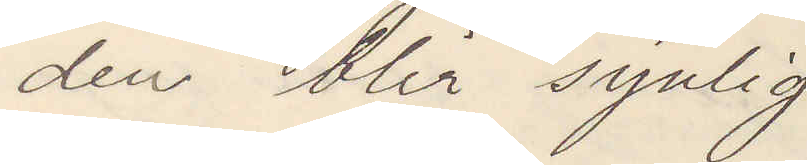den blir synlig
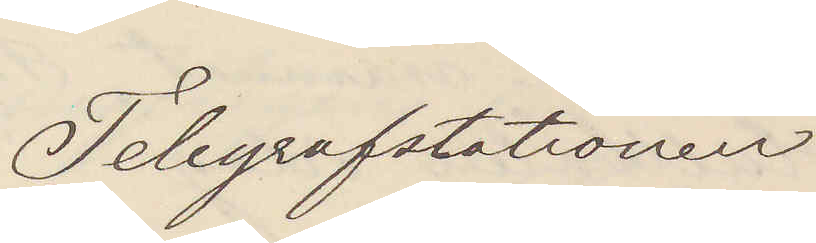Telegrafstationen
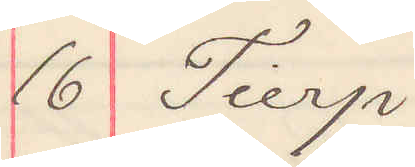16 Tierp
